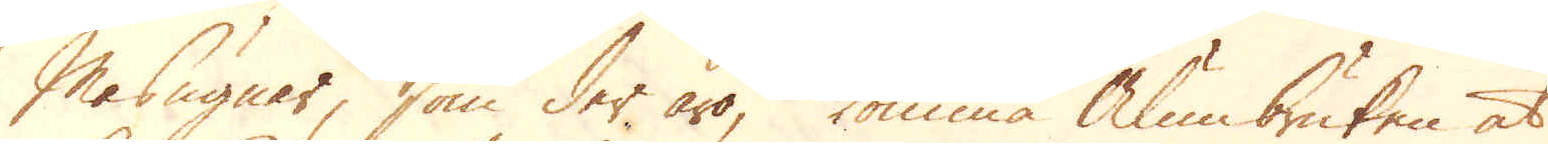masugnar, som der äro, komma alumbruken at
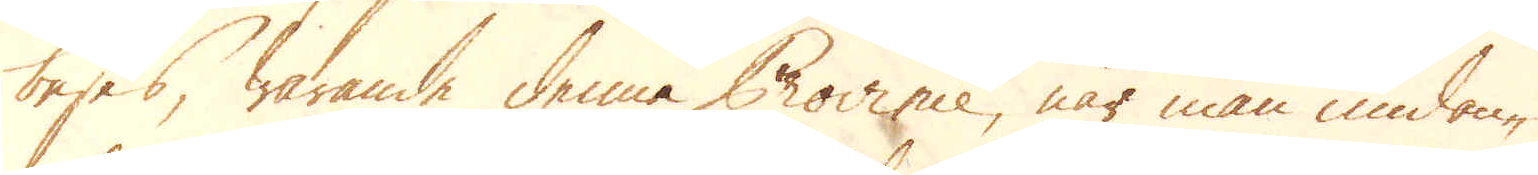beses, warande denne Province, när man undan-
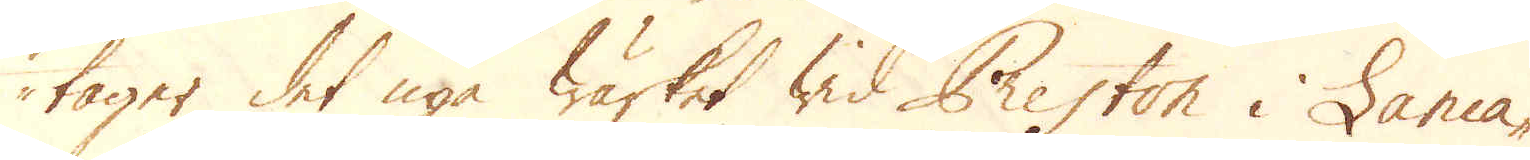tager det nya wärket wid Preston i Lanca-
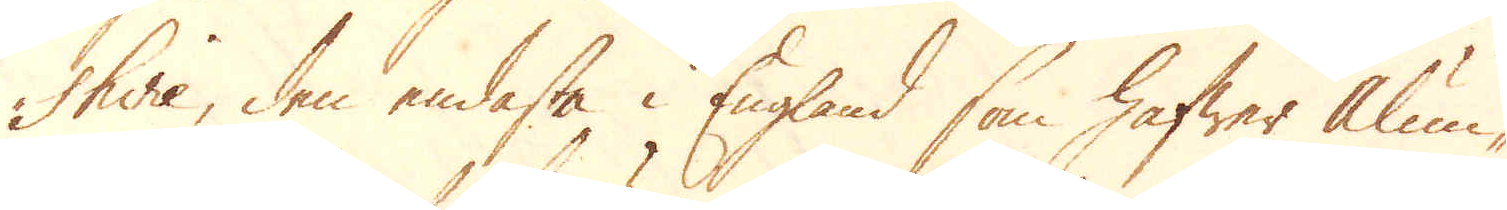shire, den endaste i England som hafwer Alum-
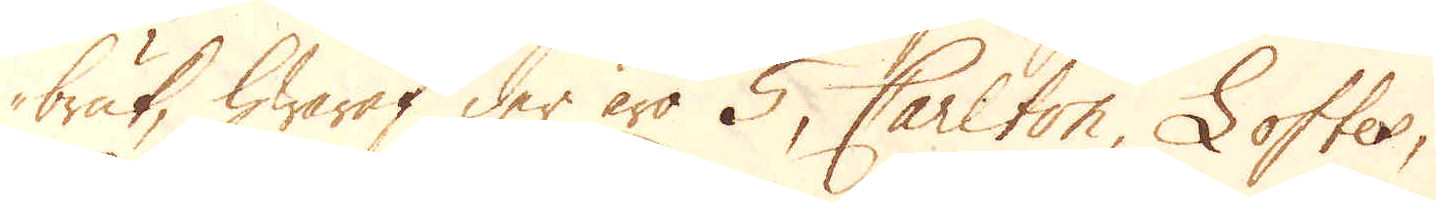bruk, hwaraf der äro 5, Carlton, Loftes,
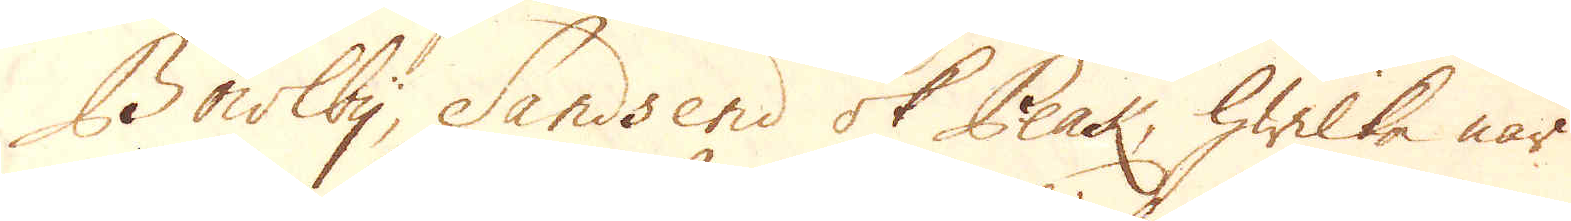Bowlby, Sandsend ok Peak, hwilka när
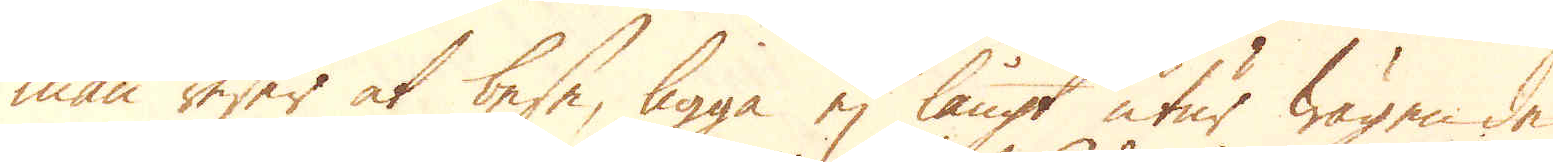man reser at bese, ligga ej långt utur wägen de
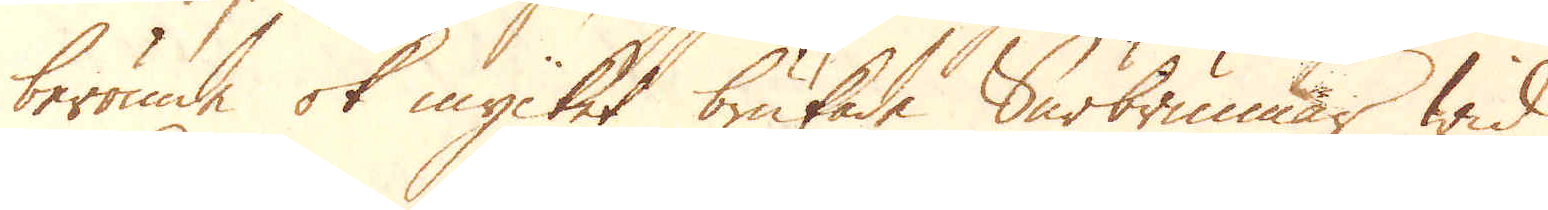berömde ok mycket brukade Surbrunnar wid
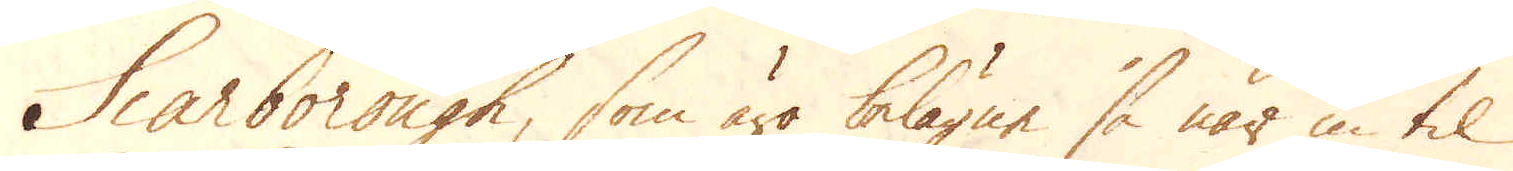Scarborough, som äro belägne så när in til
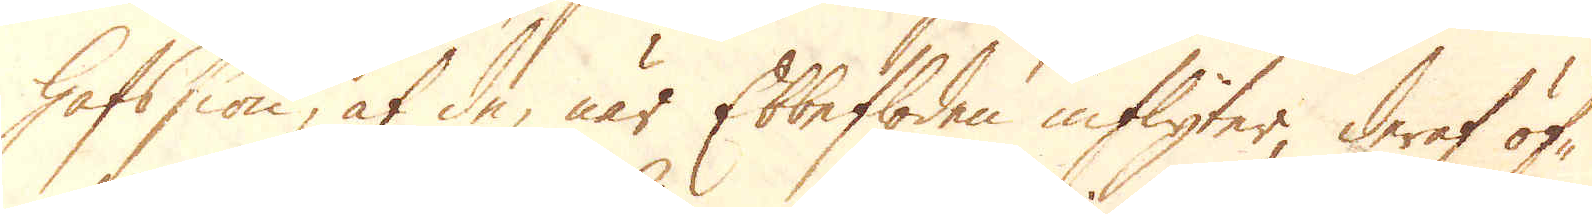hafssiön, at de, när Ebbefloden inflyter, deraf öf-
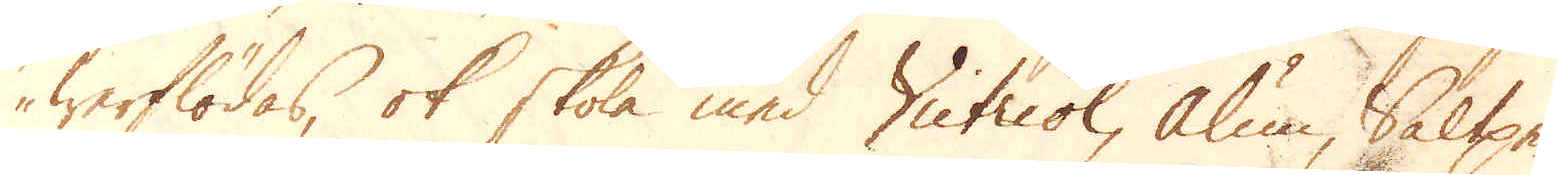werflödas, ok skola med Victriol, Alum, Saltpe-
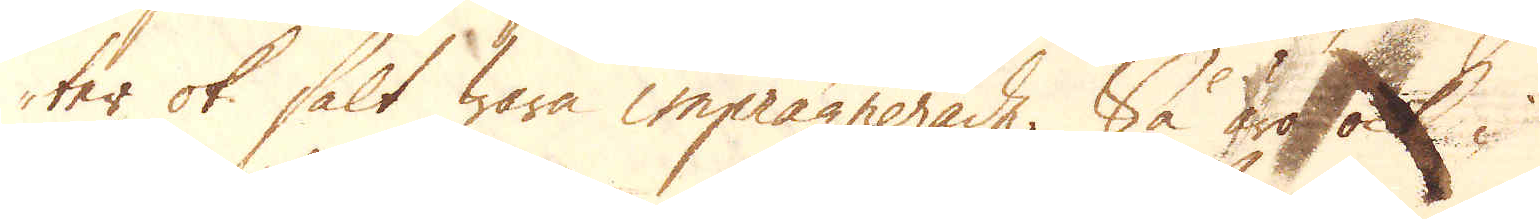ter ok salt wara inprägnerade. Så äro ock i
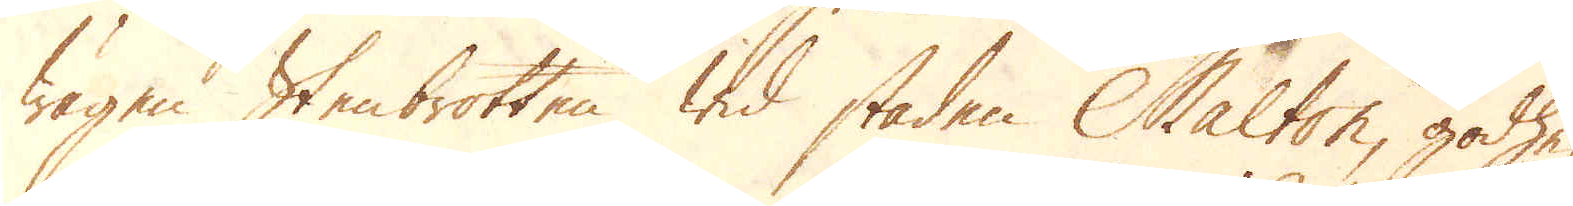wägen Stenbrotten wid staden Malton, godhe-
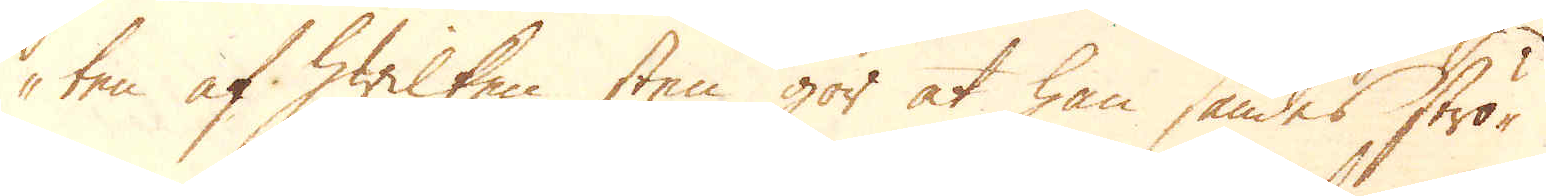ten af hwilken sten gör at han sändes strö-
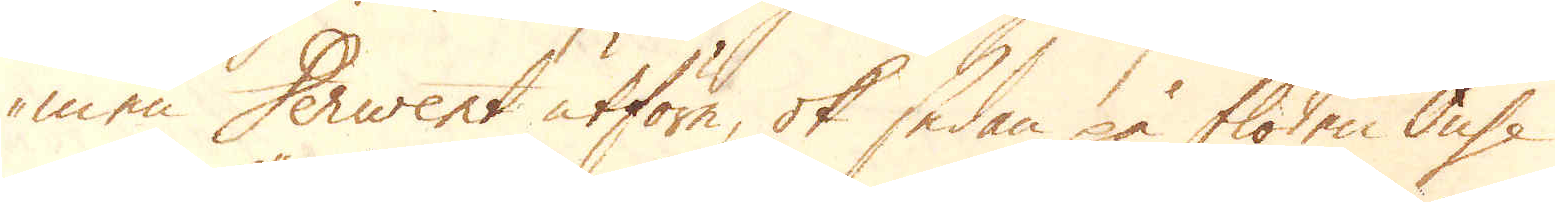men Derwert utföre, ok sedan på floden Ouse
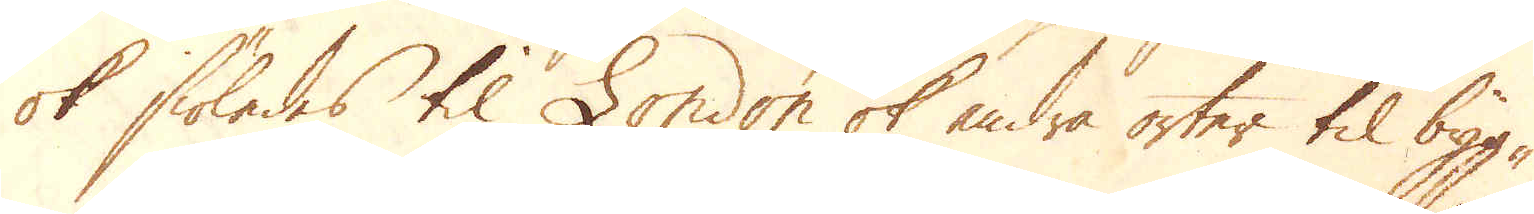ok siöledes til London ok andra orter til byg-
